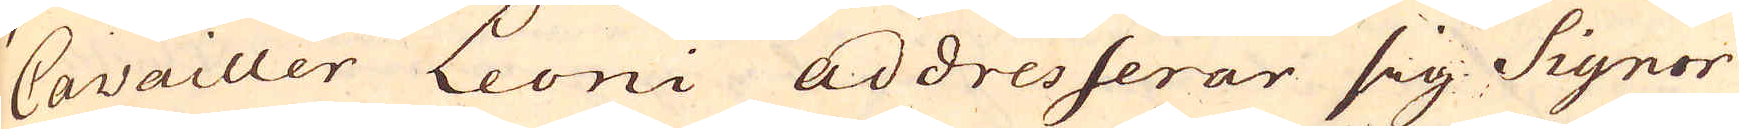Cavailler Leoni addresserar sig Signor
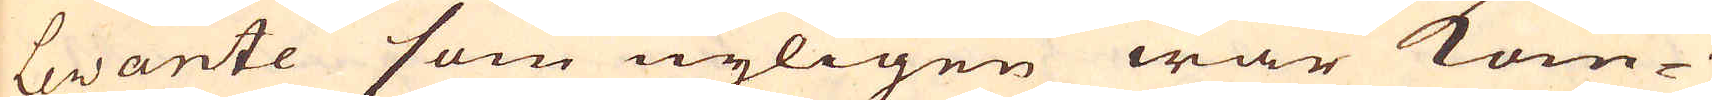Levante som nyligen war kom-
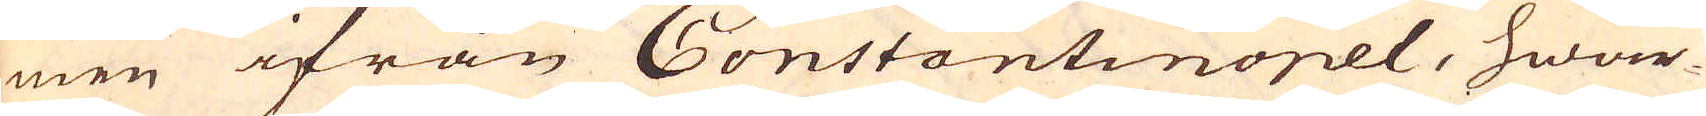men ifrån Constantinopel, hwar-
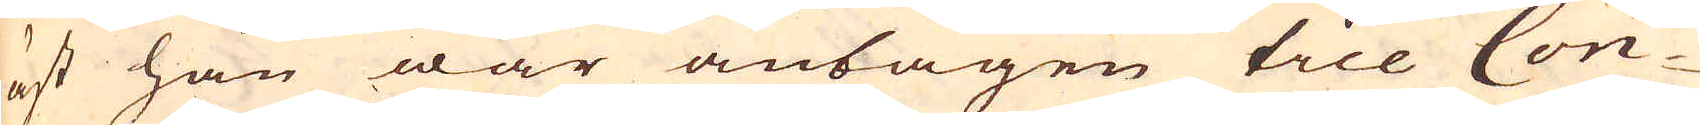äst han war antagen till Con-
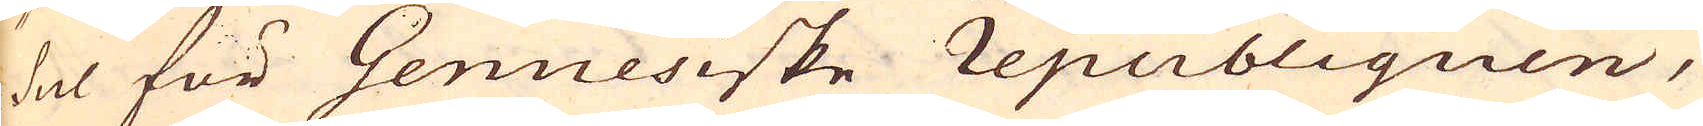sul för Genuesiske republiquen,
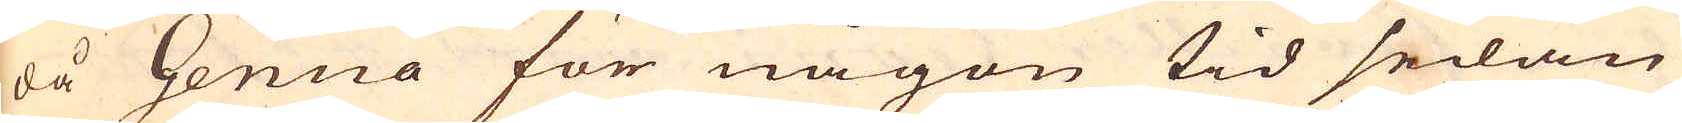då Genua för någon tid sedan
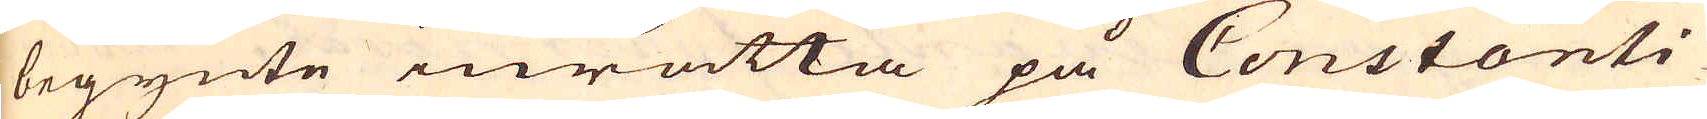begynte inrätta på Constanti-
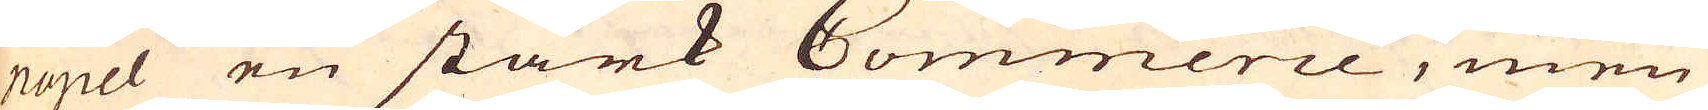nopel en stark Commerce, men
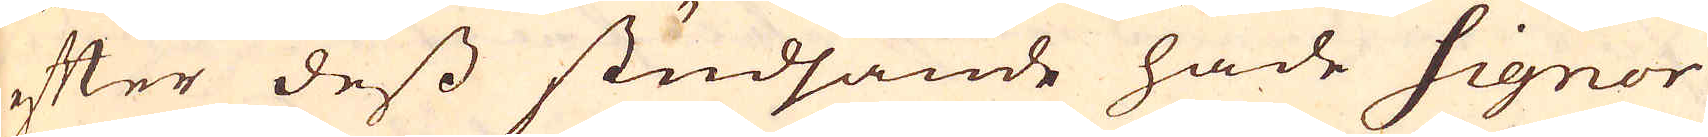efter dess studsande hade Signor
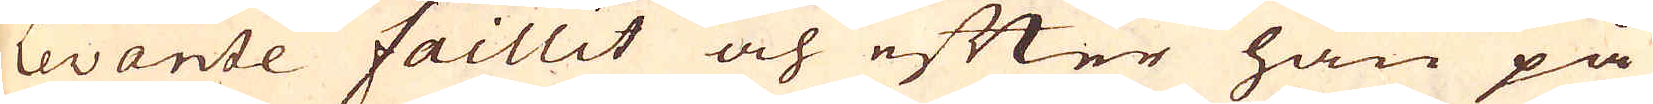Levante faillit och efter han på
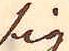sig
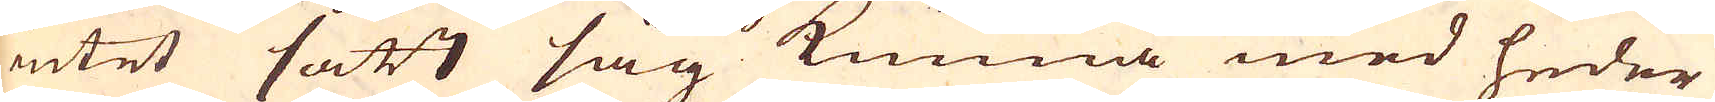intet sätt såg kunna med heder
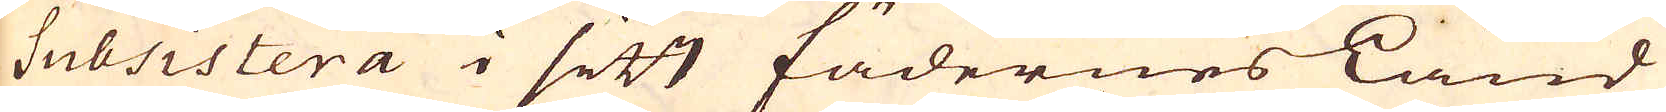Subsistera i sitt fädernes Land
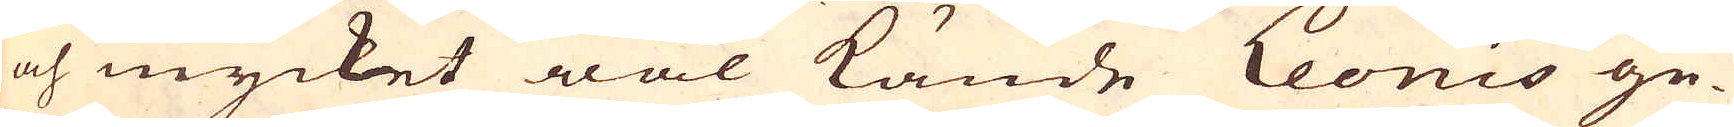och mycket wäl kände Leonis ge-
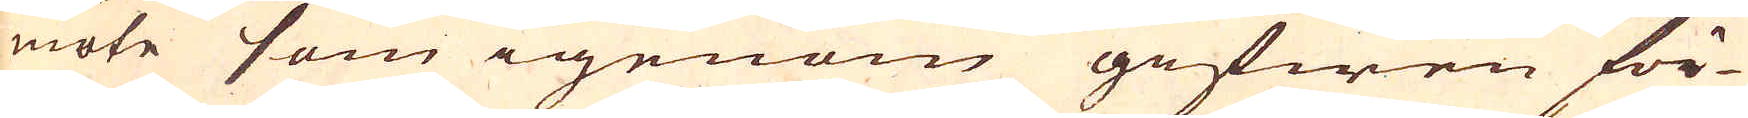möte som igenom gifwen för-
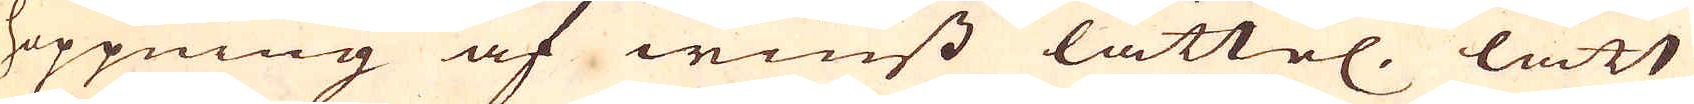hoppning af winst lättel. lätt
